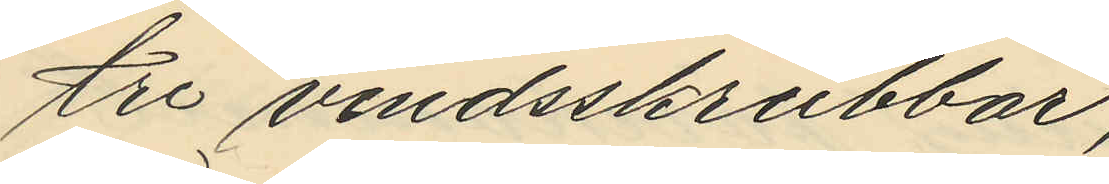tre vindsskrubbar;
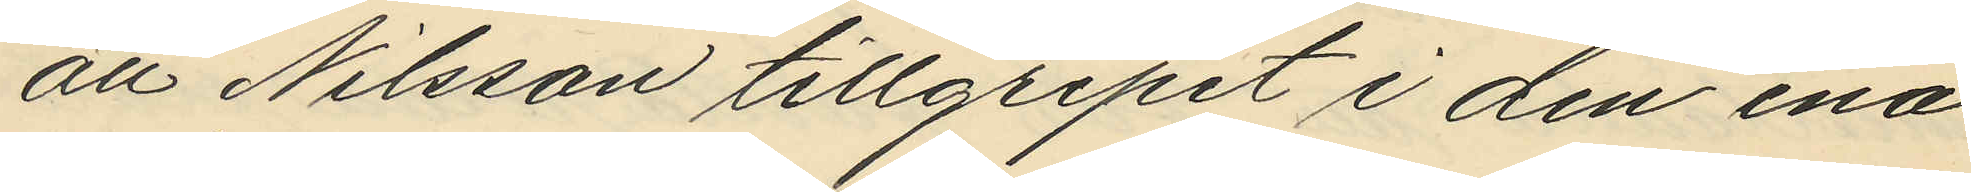att Nilsson tillgripit i den ena
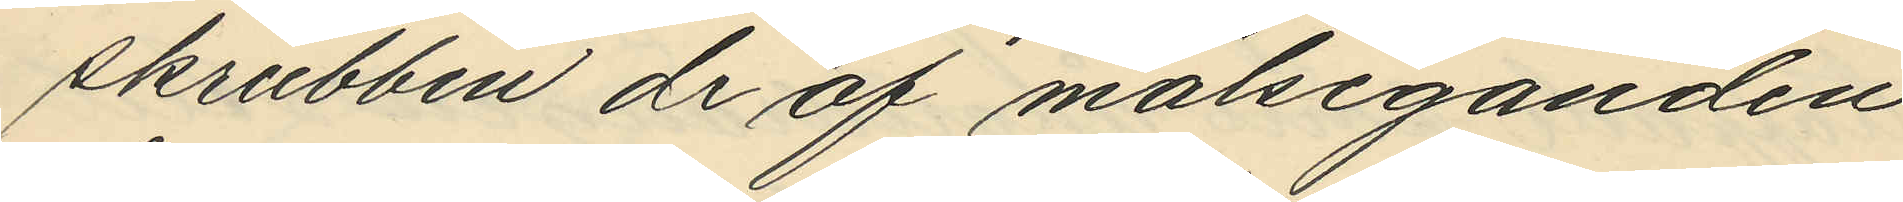skrubben de af målseganden
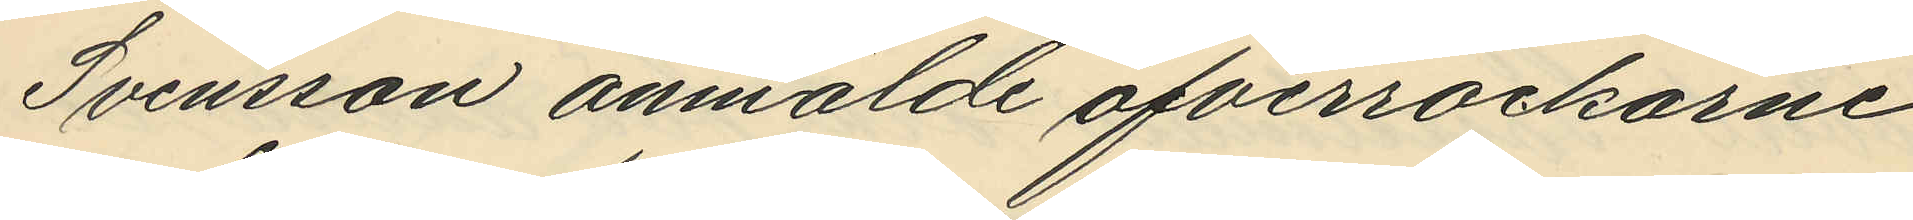Svensson anmälde öfverrockarne
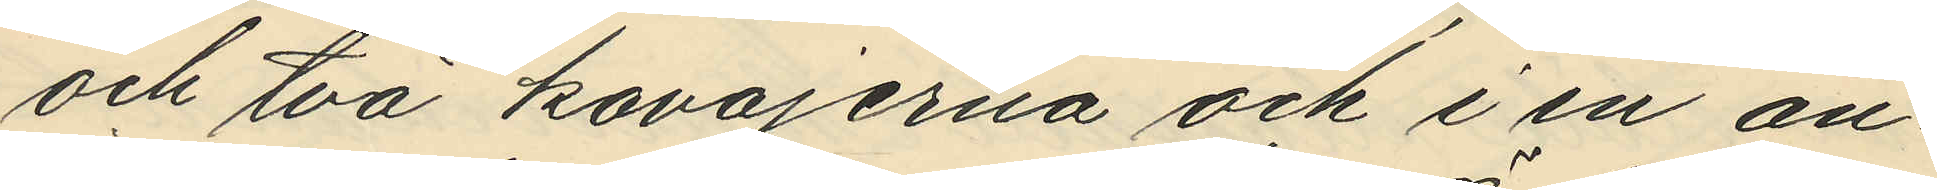och två kavajerna och i en an¬
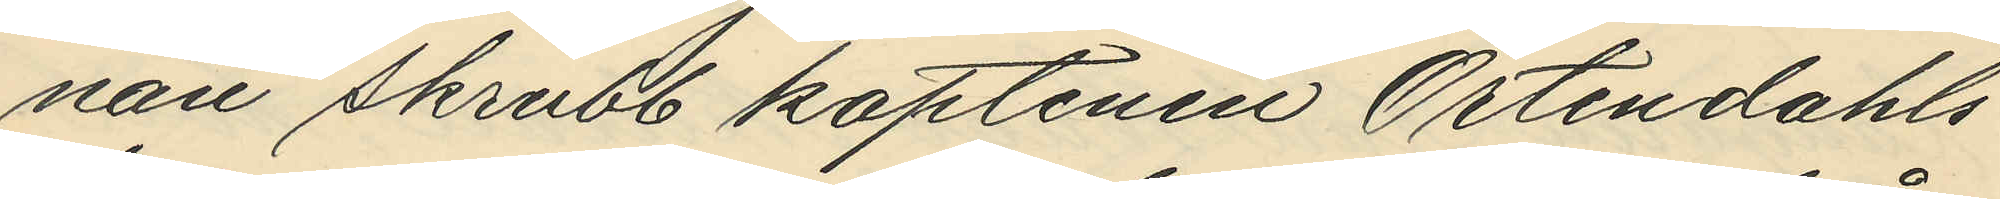nan skrubb kaptenen Örtendahls
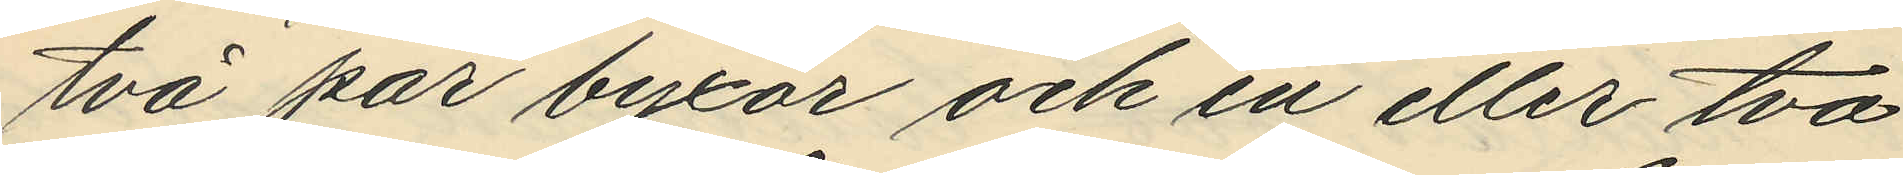två par byxor och en eller två
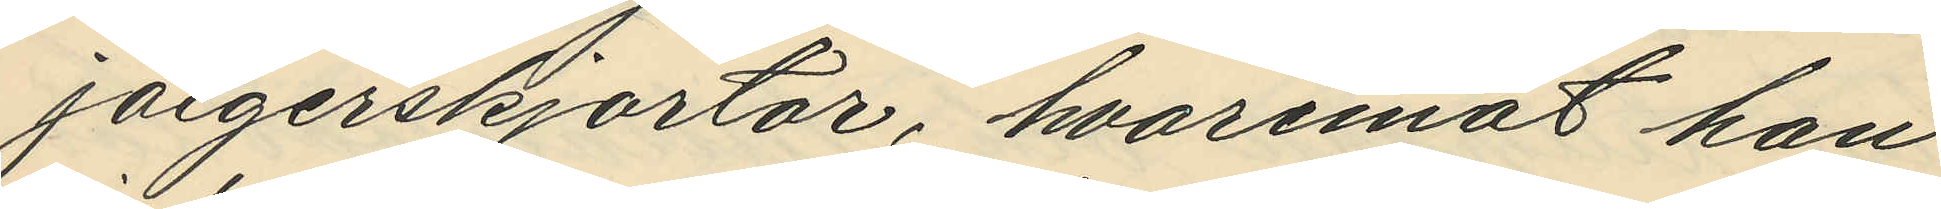jaegerskjortor, hvaremot han
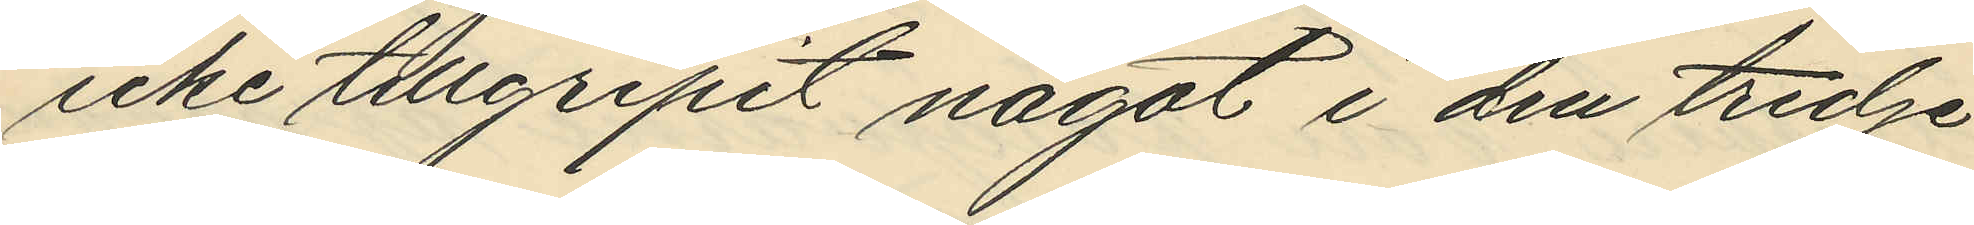icke tillgripit något i den tredje
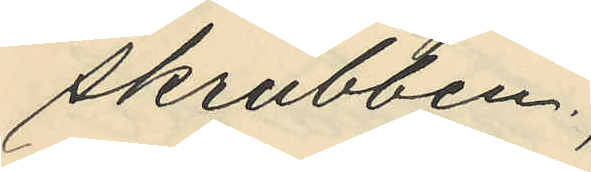skrubben;
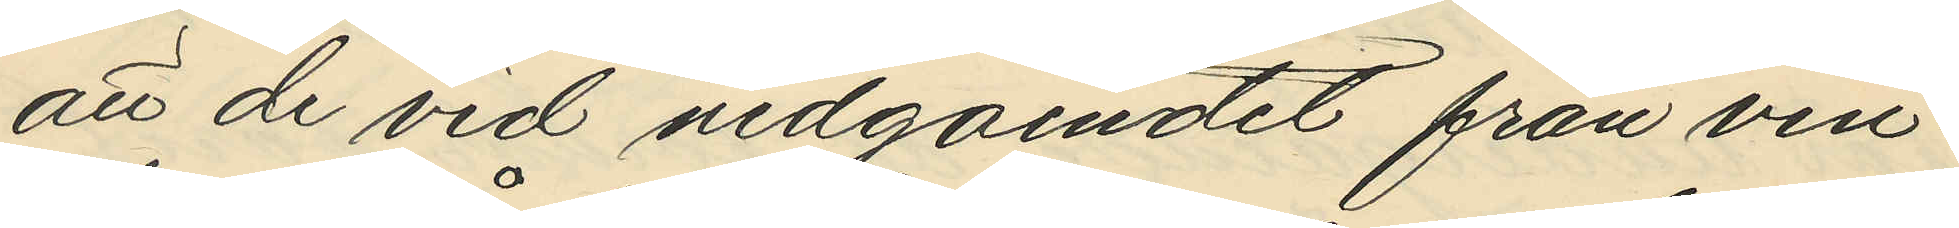att de vid nedgåendet från vin¬
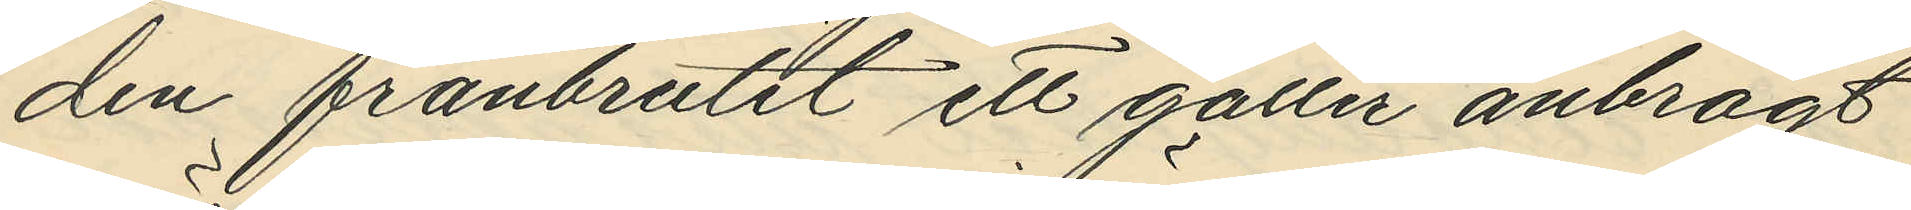den frånbrutit ett galler anbragt
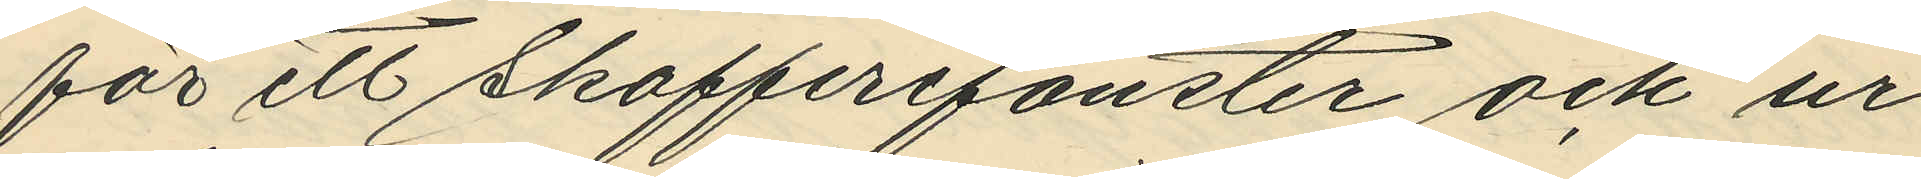för ett skafferifönster och ur
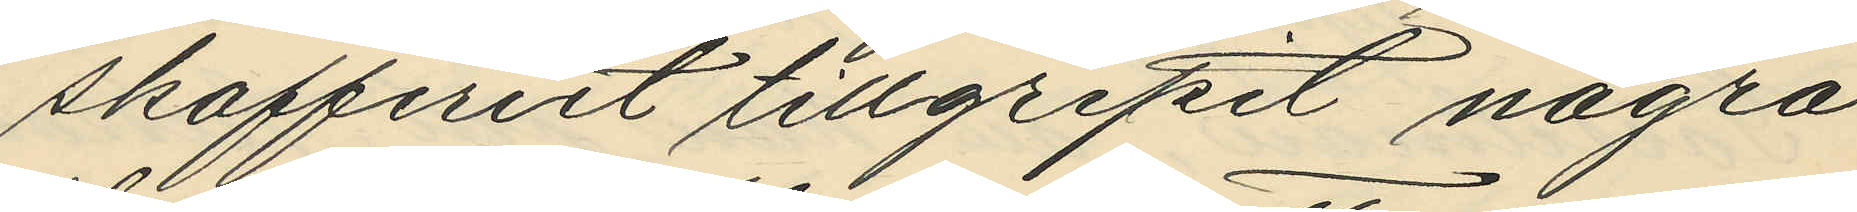skafferiet tillgripit några
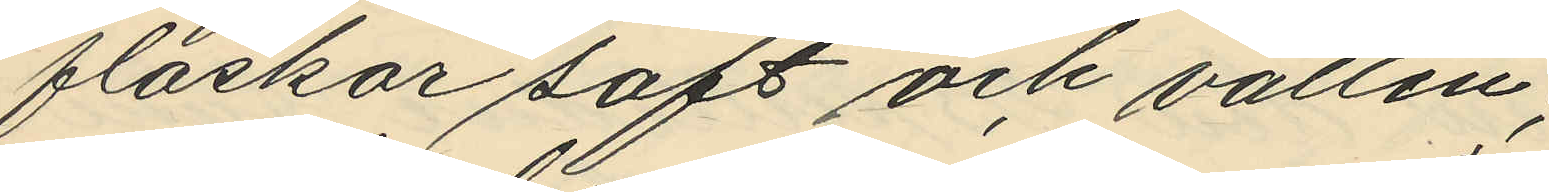flaskor saft och vatten;
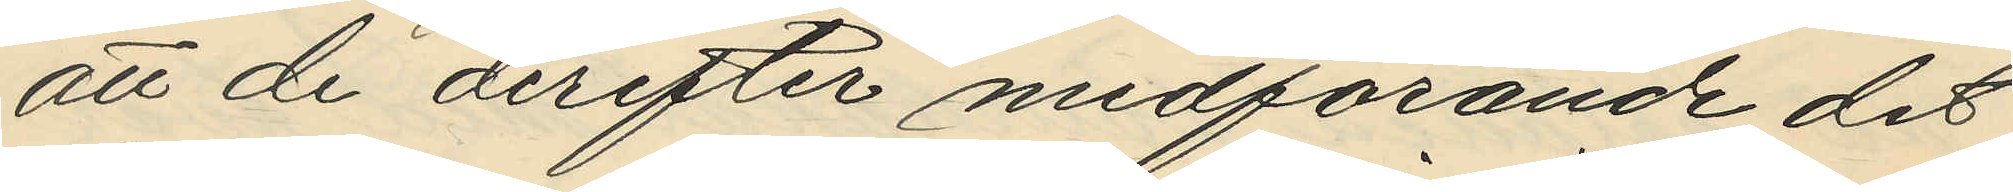att de derefter medförande det
